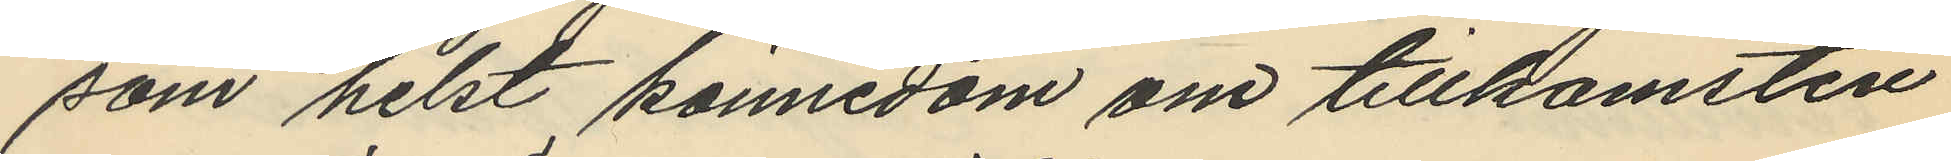som helst kännedom om tillkomsten
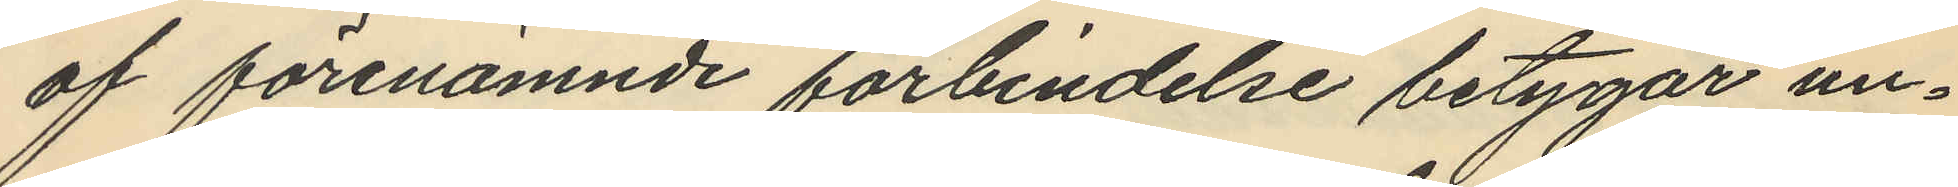af förenämnde förbindelse betygar un¬
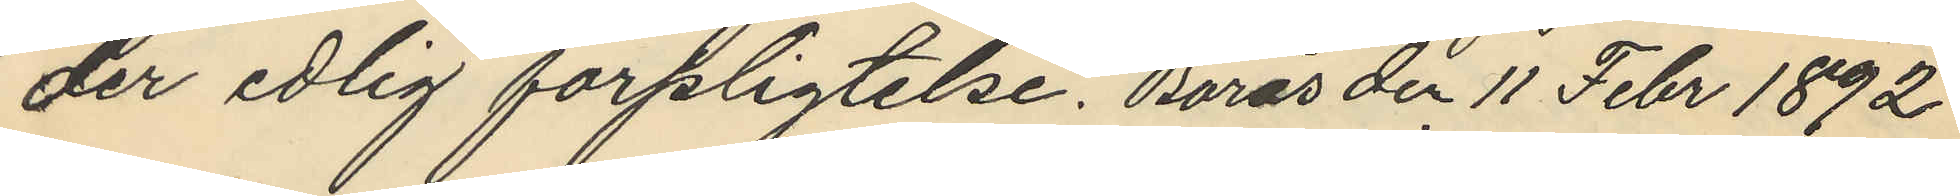der edlig förpligtelse. Borås den 11 Febr 1892
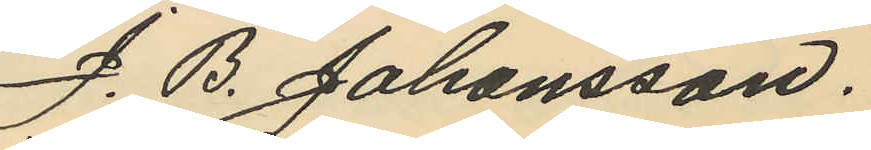J. B. Johansson.
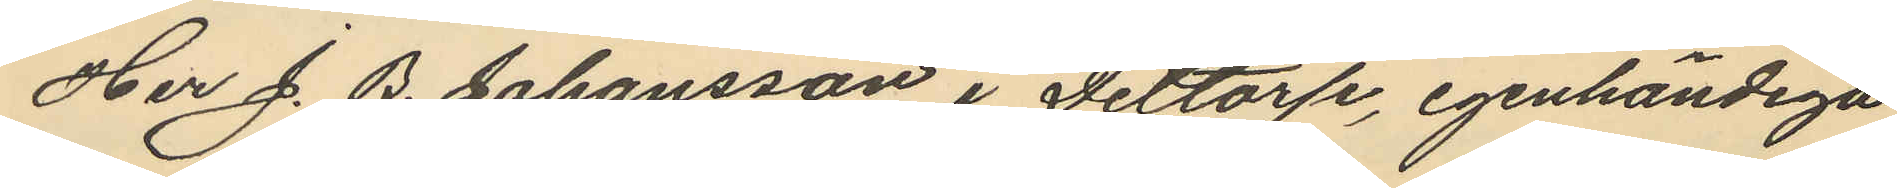Her J. B. Johansson i Daltorp, igenhändiga
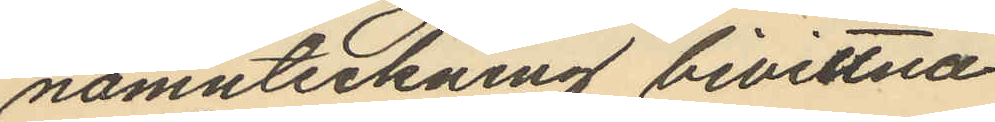namnteckning bevittna.
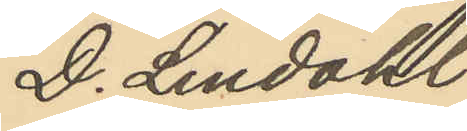D. Lindahl
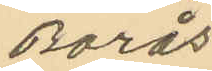Borås
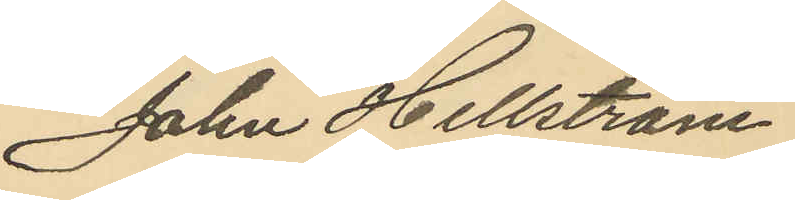John Hellström
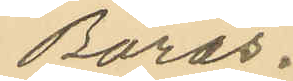Borås.
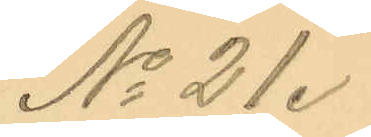No 21.
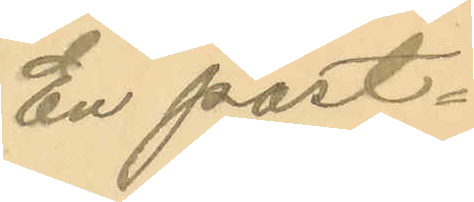En post¬
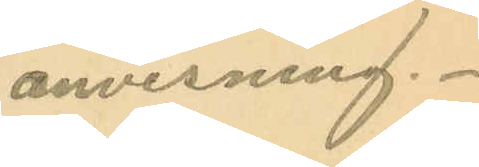anvisning.
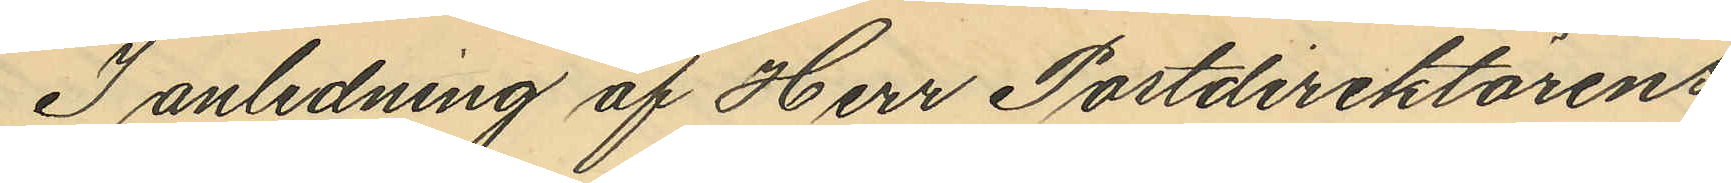I anledning af Herr Postdirektörens
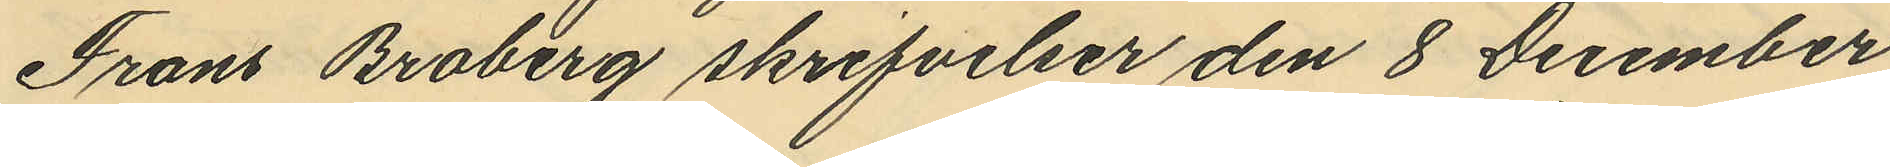Frans Broberg skrifvelser den 8 December
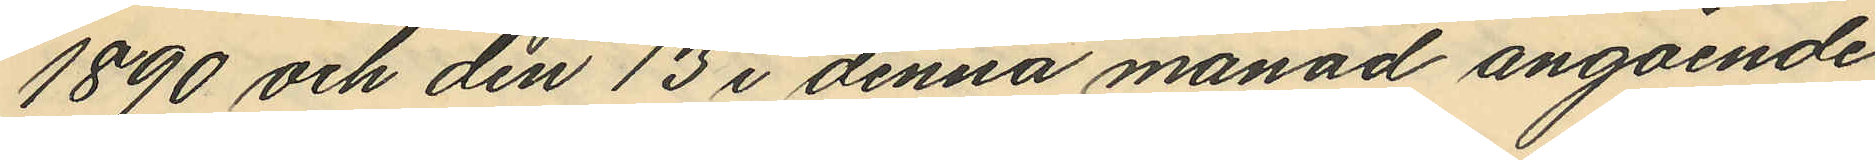1890 och den 13 i denna månad angående
